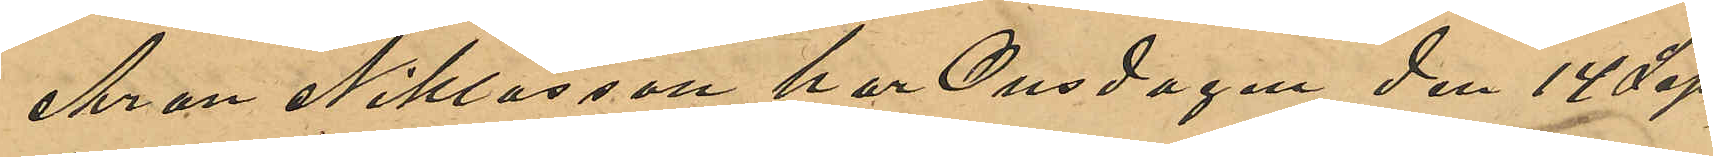Aron Niklasson har Onsdagen den 14 Sep¬
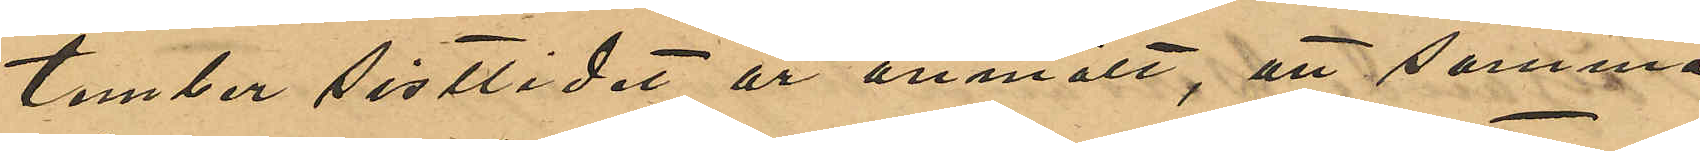tember sistlidne år anmält, att samma
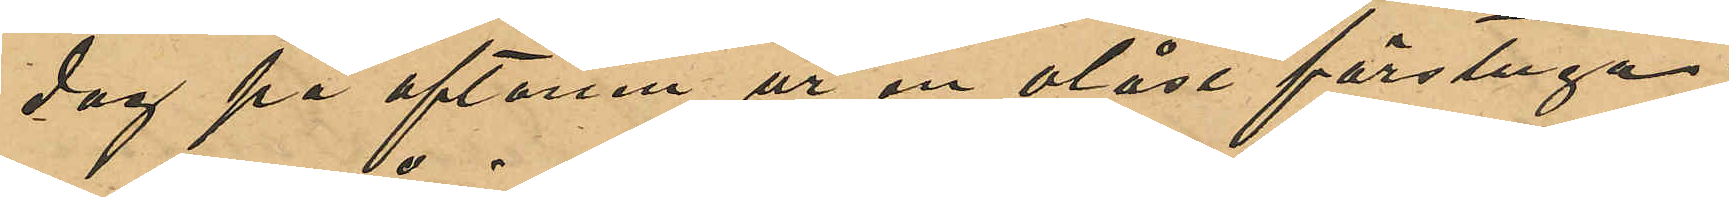dag på aftonen ur en olåst förstuga i
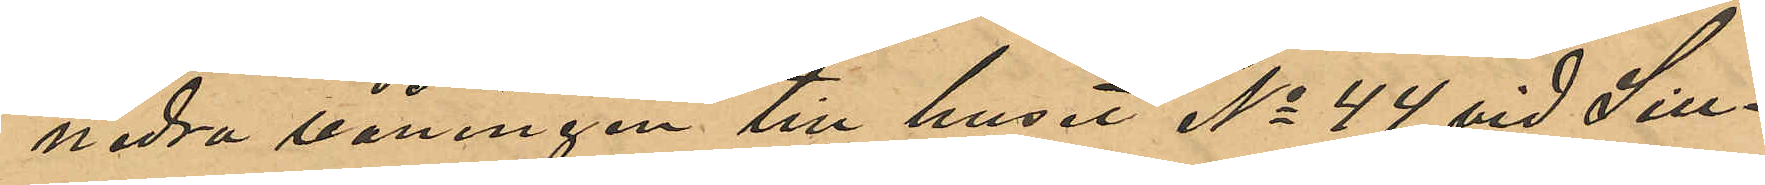nedra våningen till huset No 44 vid Sill¬
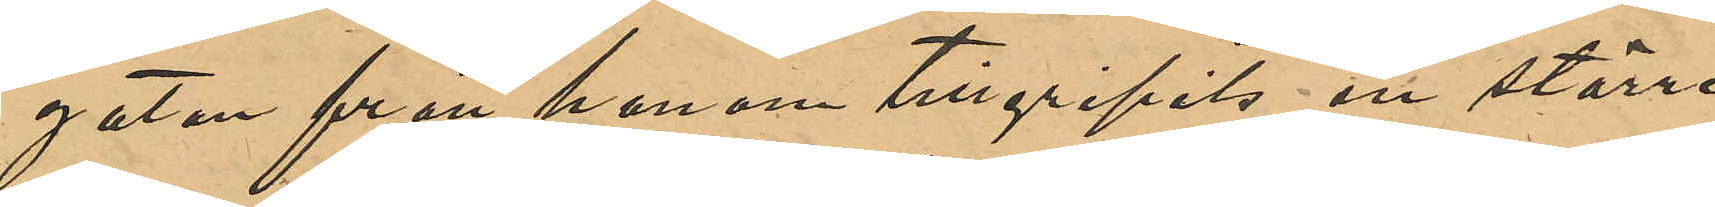gatan från honom tillgripits en större
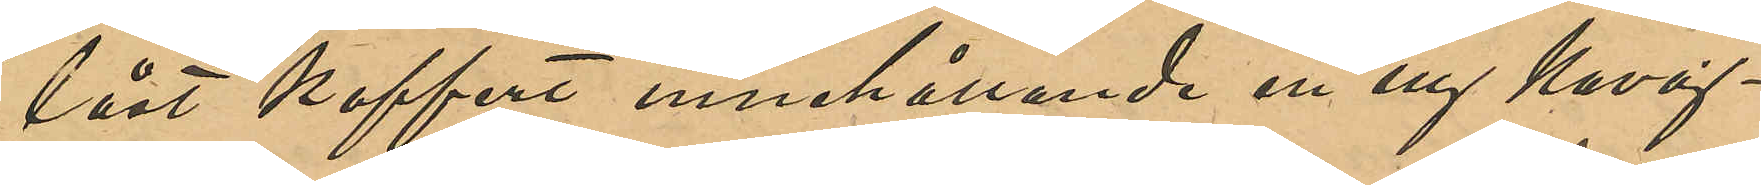låst koffert innehållande en ny Kavaj¬
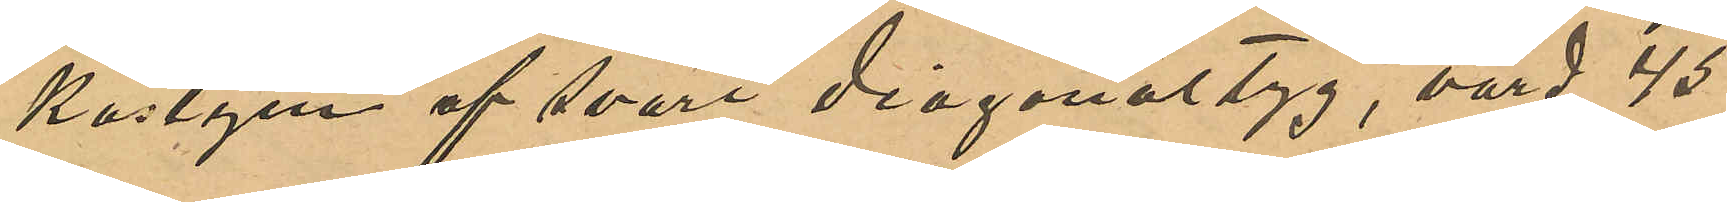kostym af svart diagonaltyg, värd 45
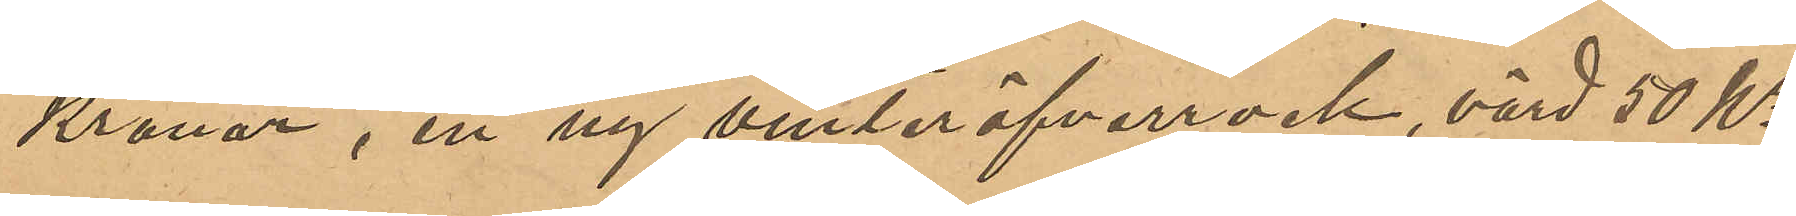Kronor, en ny vinteröfverrock, värd 50 Kr,
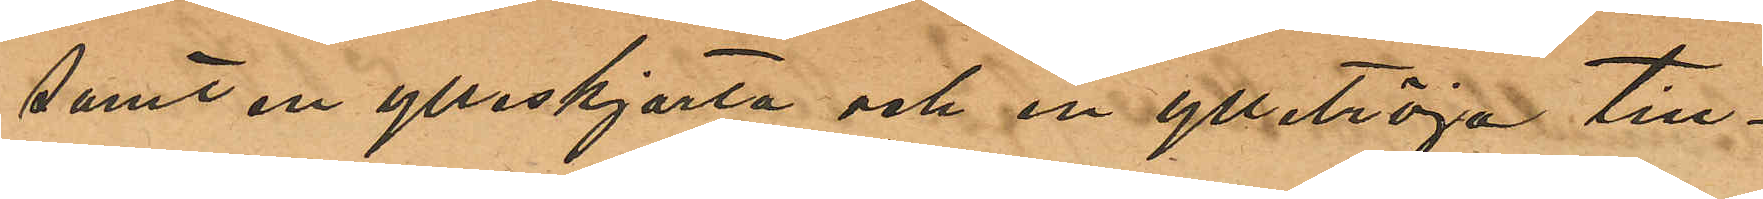samt en ylleskjorta och ylletröja till¬
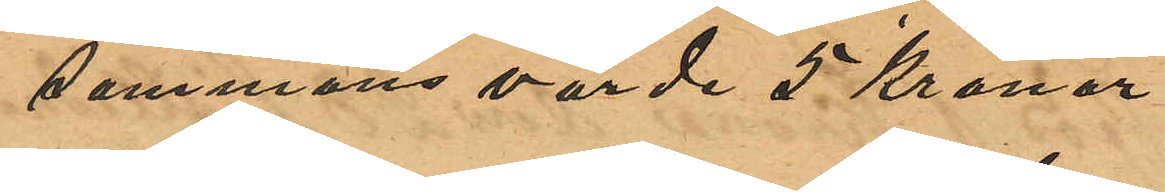sammans värda 5 Kronor.
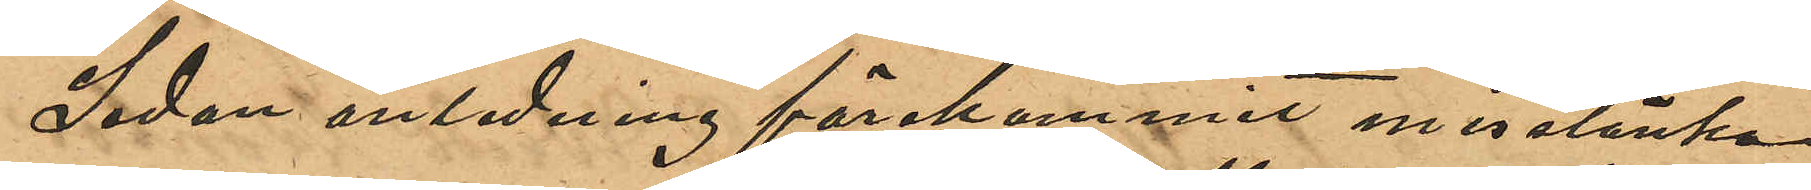Sedan anledning förekommit misstänka
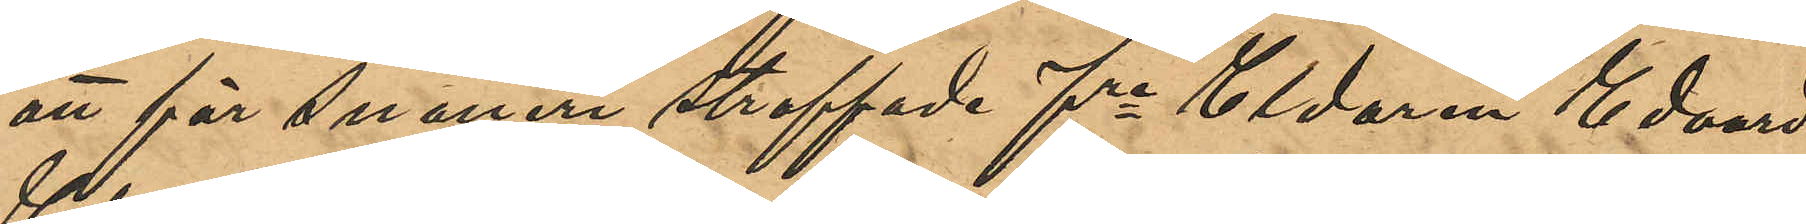att för snatteri straffade fre Eldaren Edvard
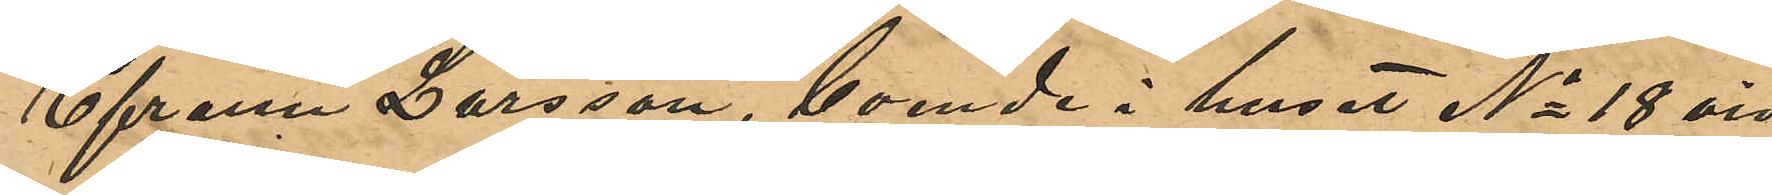Efraim Larsson, boende i huset No 18 vid
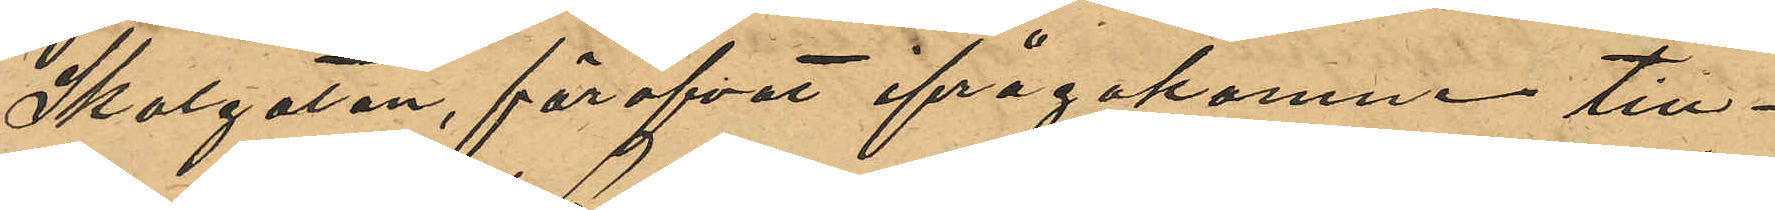Skolgatan, föröfvat ifrågakomne till¬
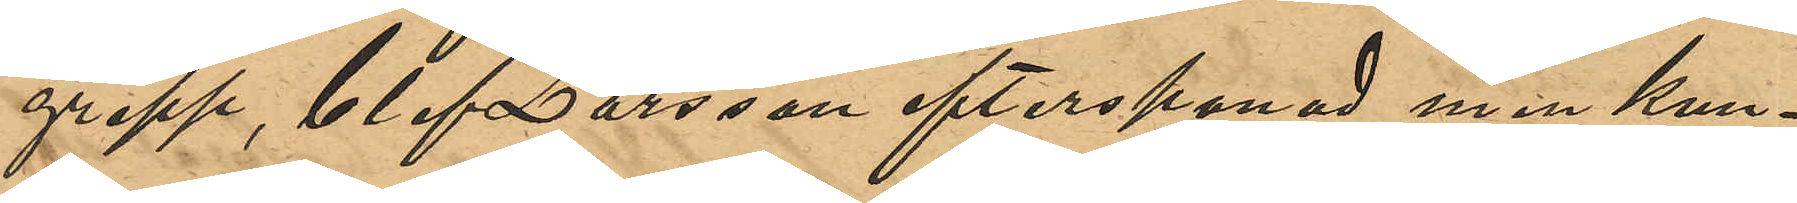grepp, blef Larsson efterspanad men kun¬
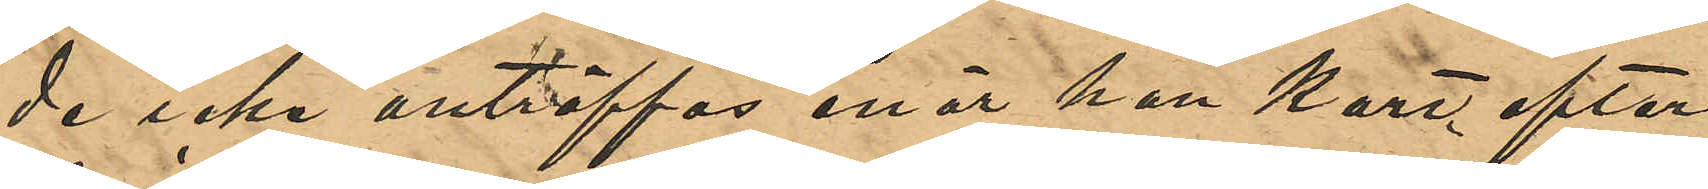de icke anträffas enär han kort efter
